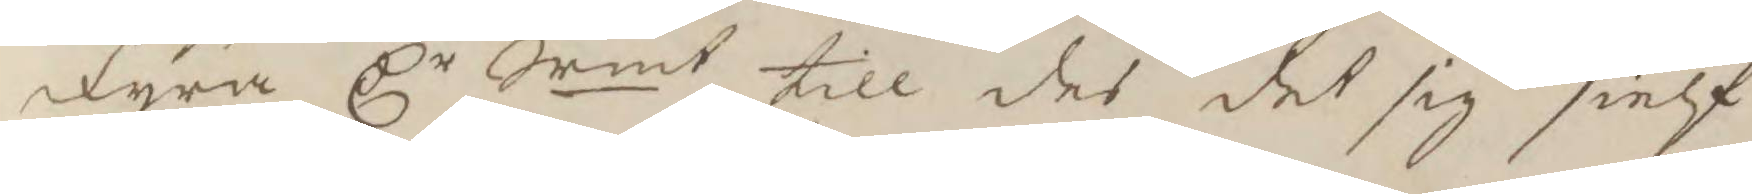Fyra Cr Srmt till des det sig sielf 
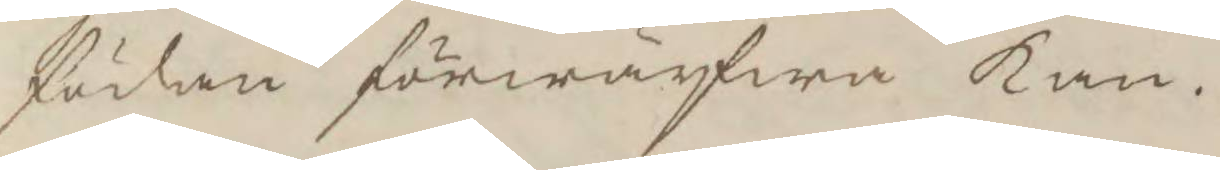födan förwärfwa kan.
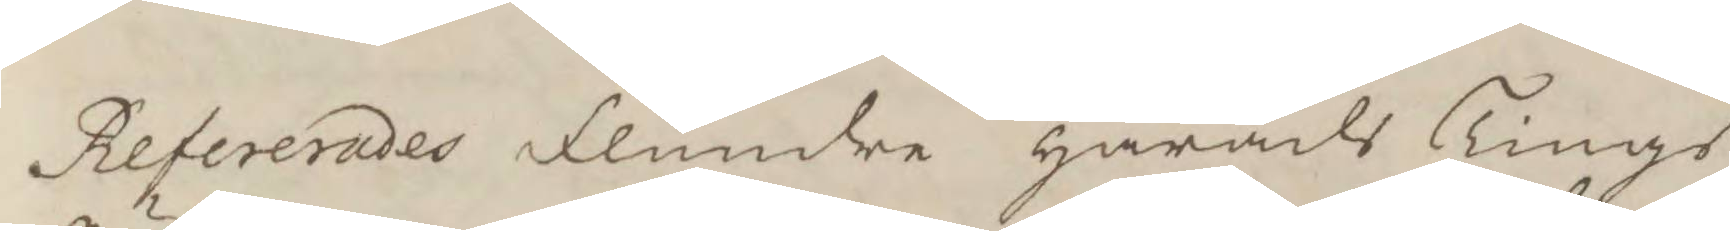Refererades Flundre härads Tings¬
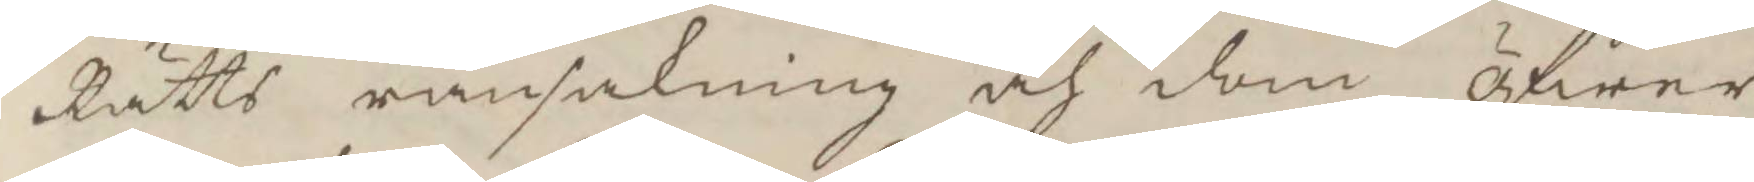Rätts ransakning och dom öfwer
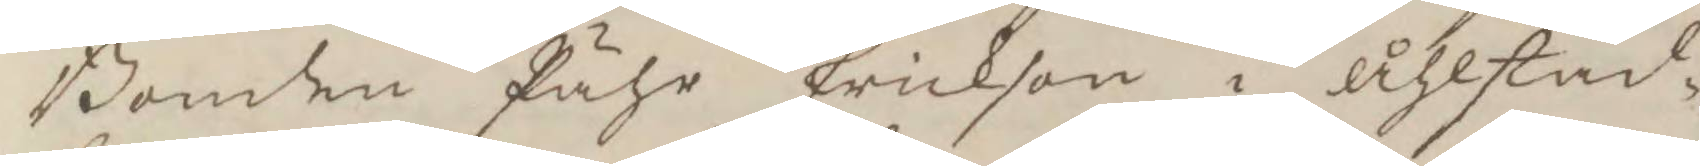Bonden Pähr Erickson i Åhlstad¬
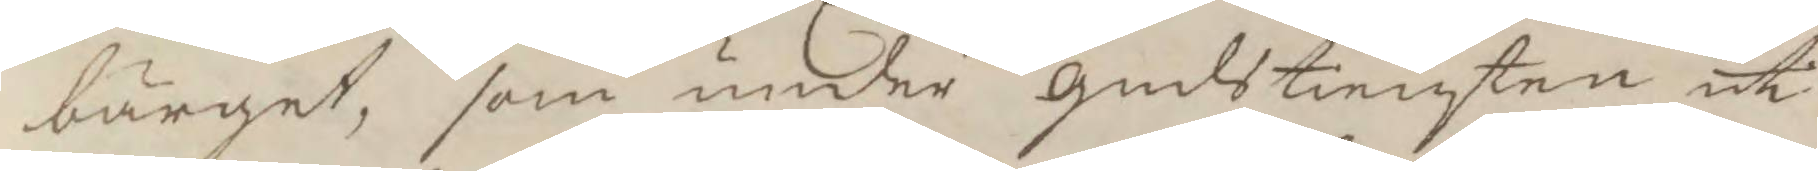bärget, som under gudstiensten uti
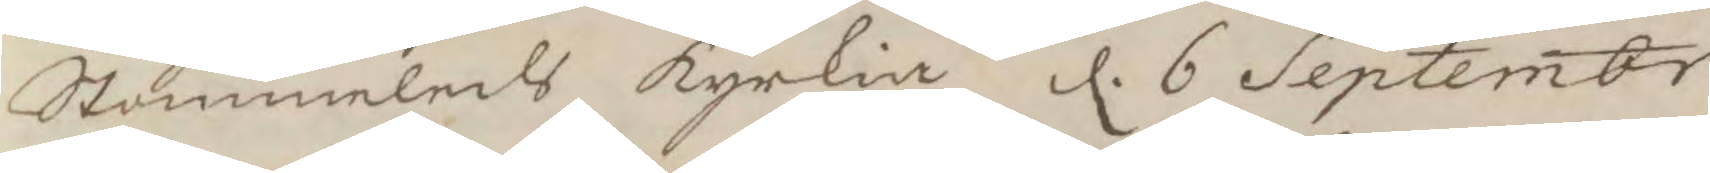Stammeleds kyrkia d. 6 Septembr
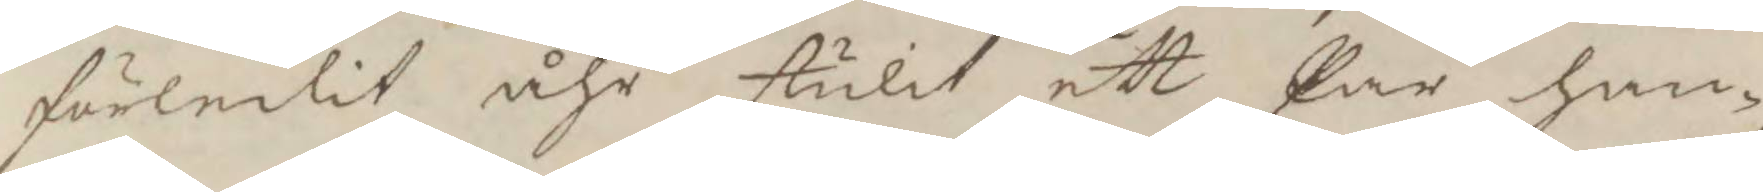förledit åhr stulit ett Par han¬
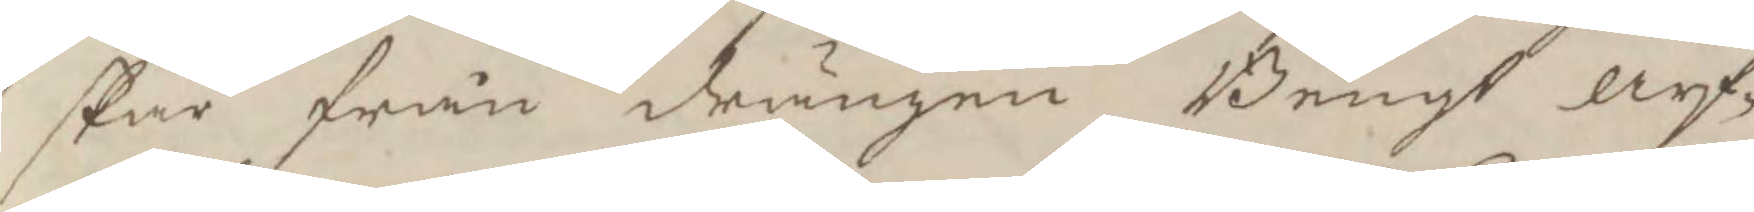skar från drängen Bengt arf¬
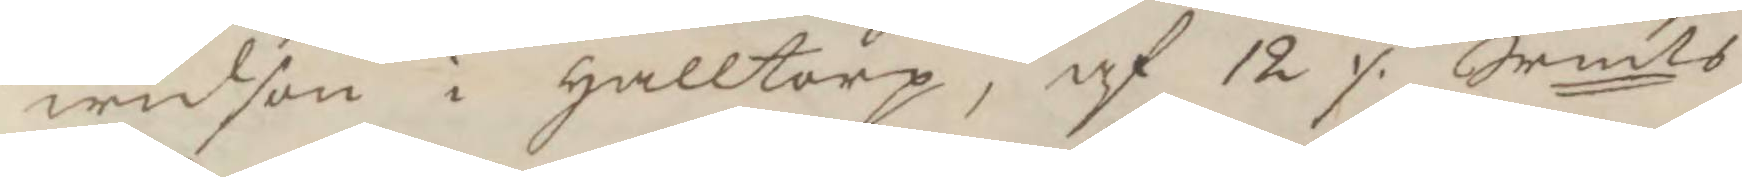widson i Halltorp, af 12 ./. Srmts
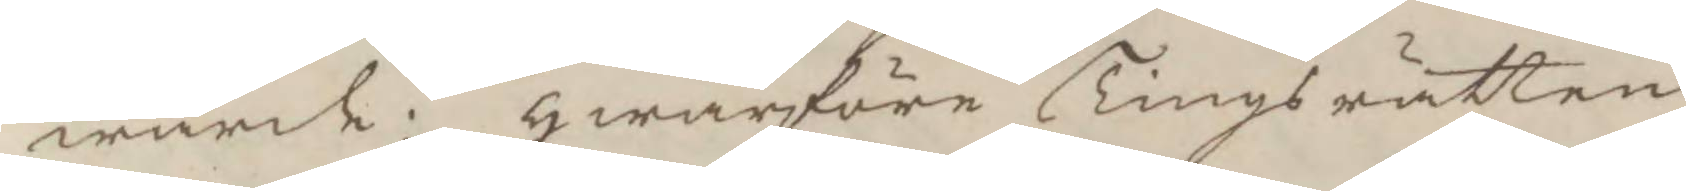wärde; hwarföre Tingsrätten
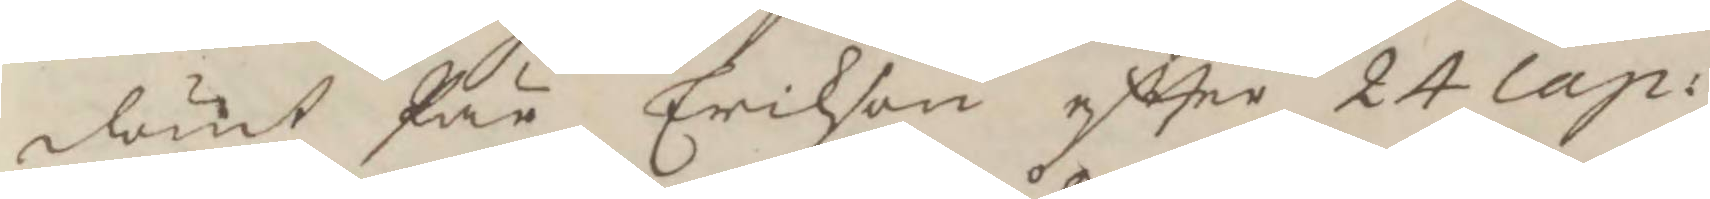dömt Pär Erickson eftter 24 Cap:
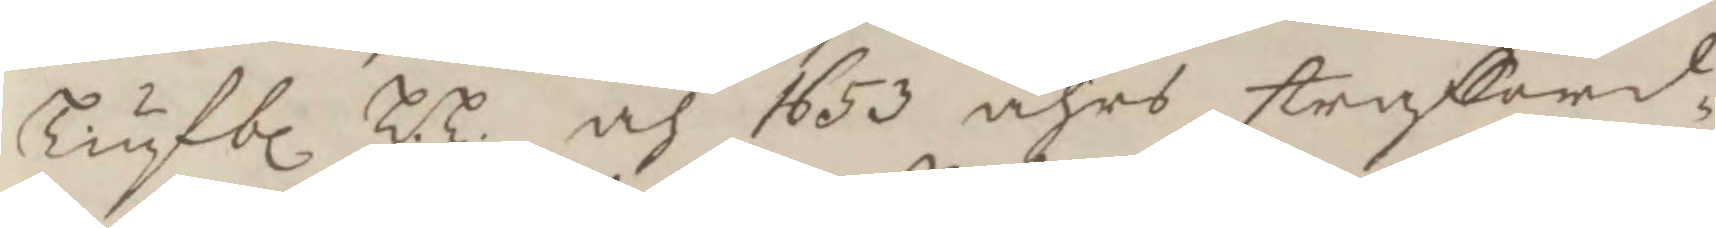Tiufbl L.L. och 1653 åhrs strafford¬
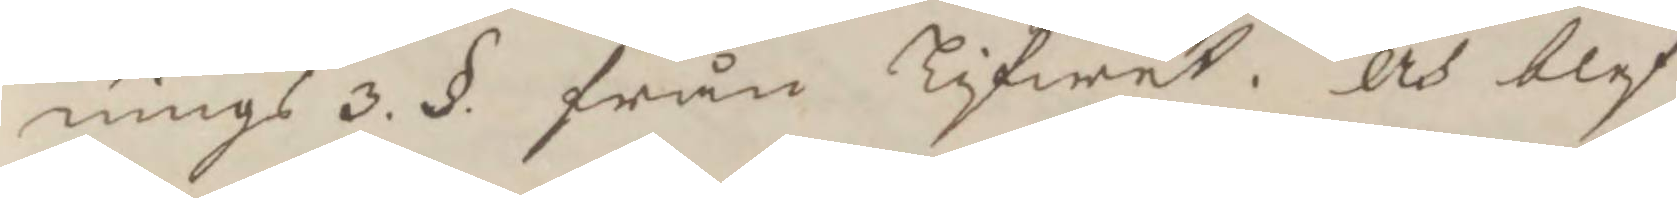nings 3.§. från Lifwet. och blef
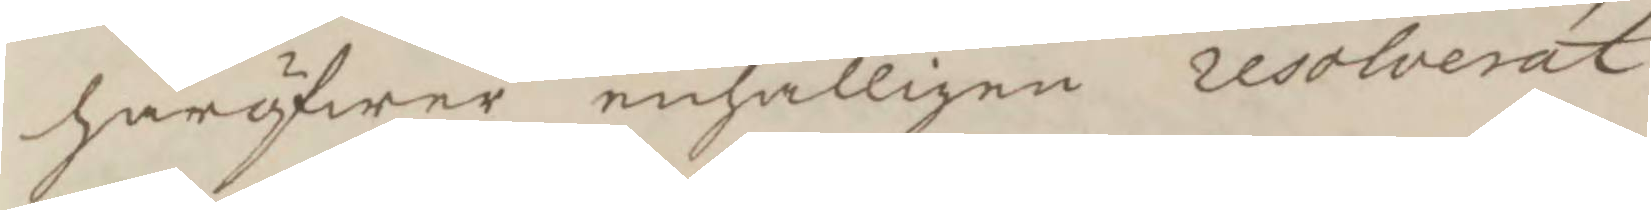haröfwer enhalligen resolverat
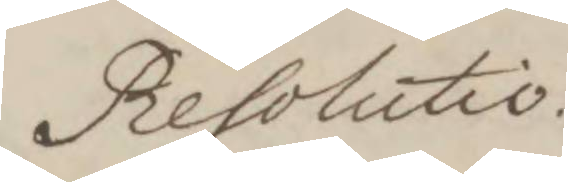Resolutio.
